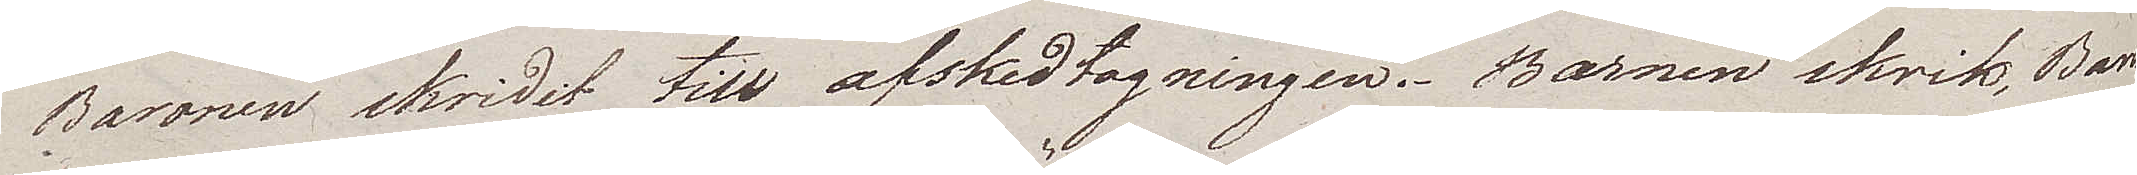Baronen skridit till afskedtagningen. Barnen skrik, Baro¬
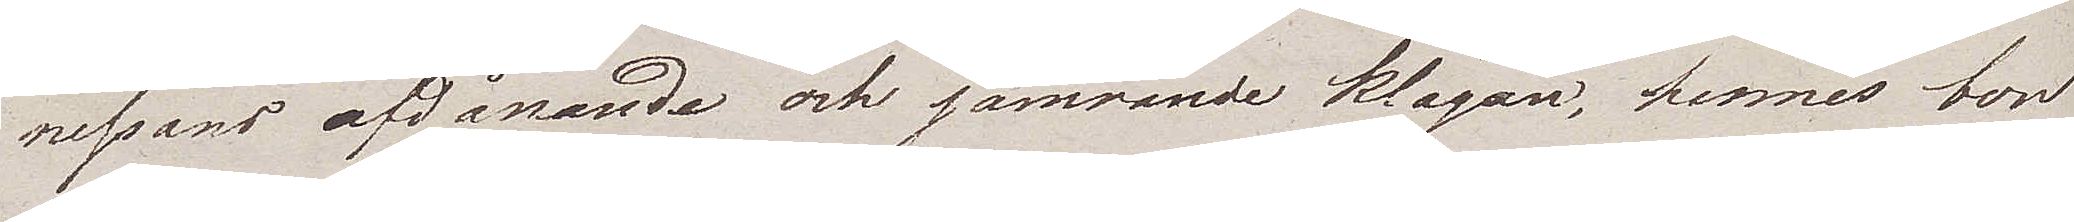nessans afdånande och jämrande klagan, hennes bon
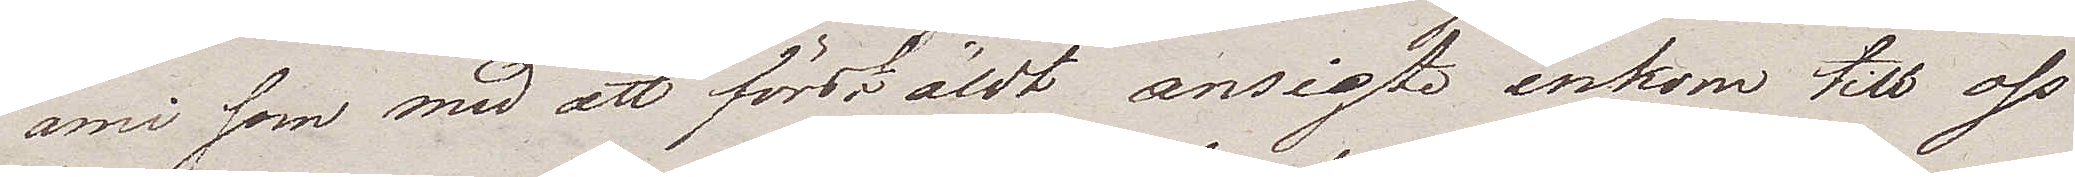ami som med ett förstäldt ansigte inkom till oss
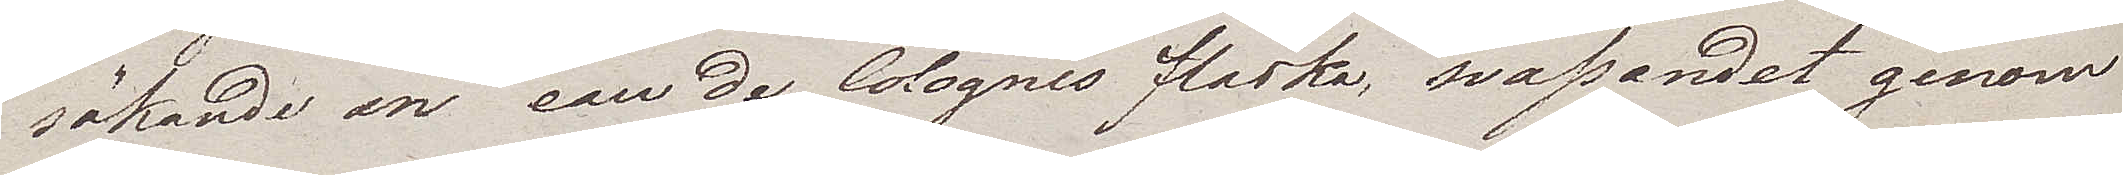sökande en eau de Colognes flaska, svassandet genom
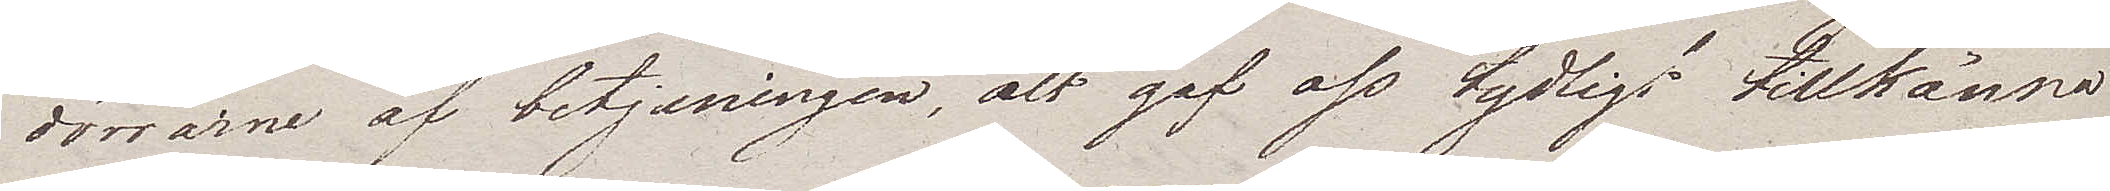dörrarne af betjeningen, alt gaf oss tydligt tillkänna
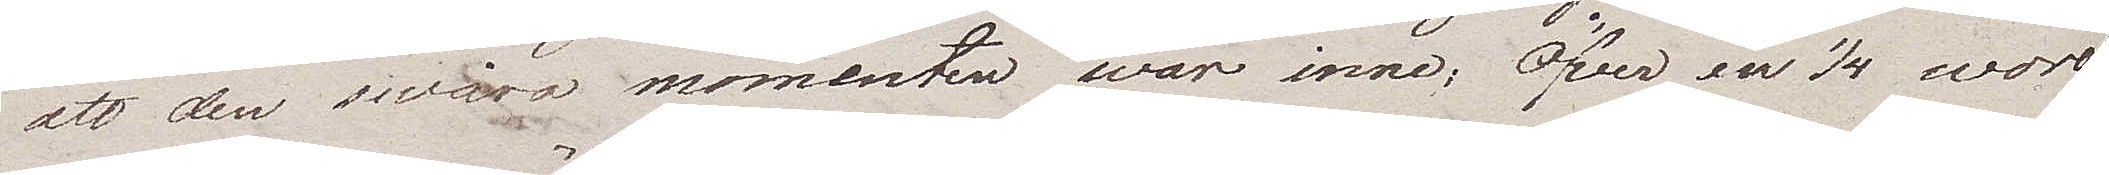att den swåra momenten war inne; Öfver en 1/4 woro
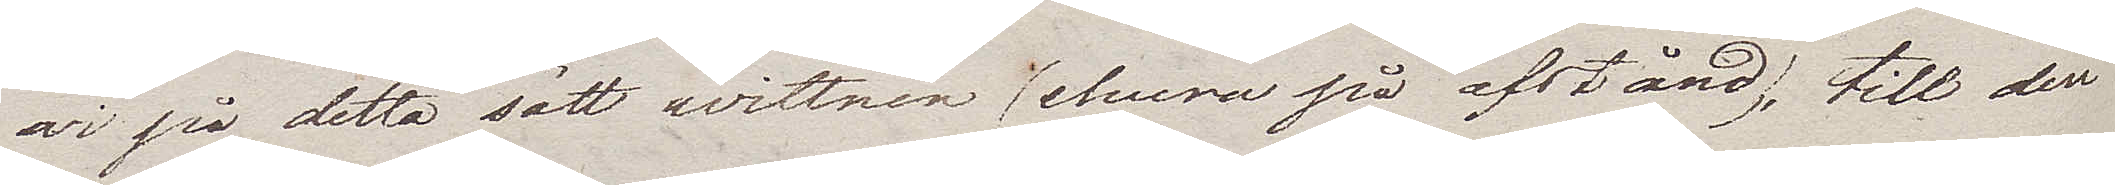wi på detta sätt wittnen (ehuru på afstånd), till den
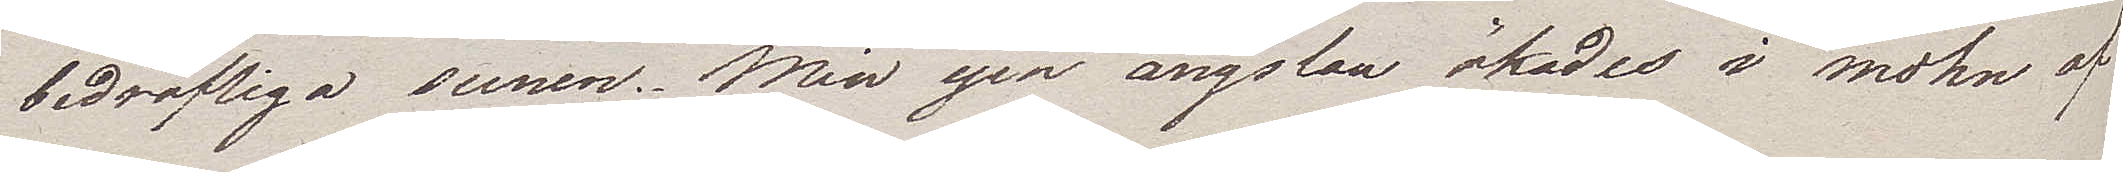bedröfliga scenen. Min egen ängslan ökades i mohn af
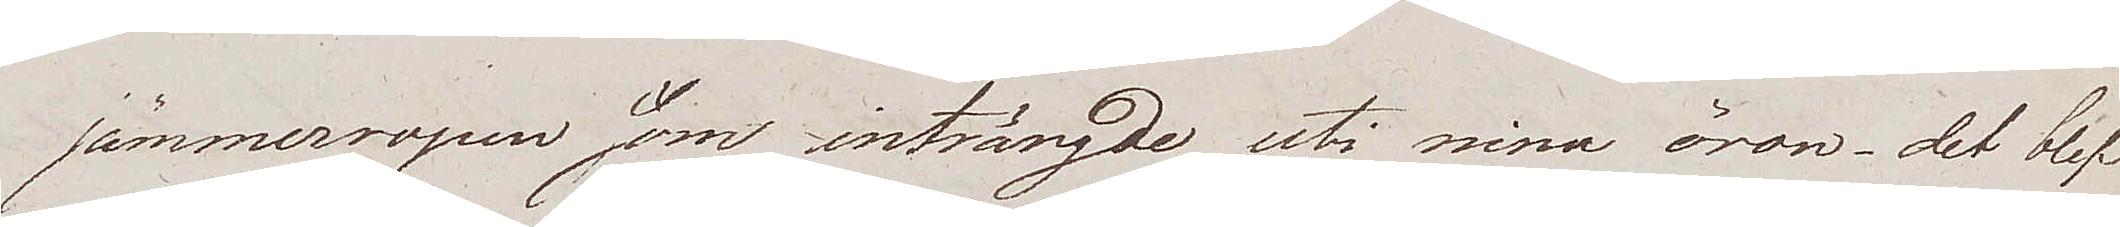jämmerropen som inträngde uti mina öron – det blef
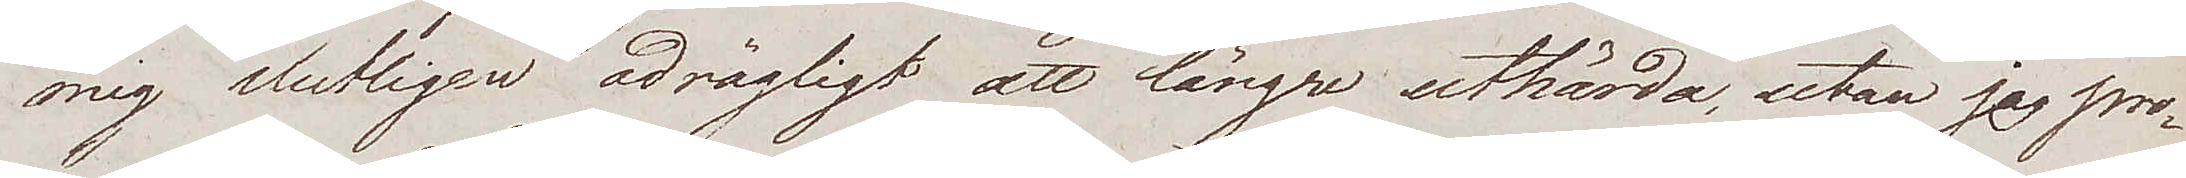mig slutligen odrägligt att längre uthärda, utan jag pro¬
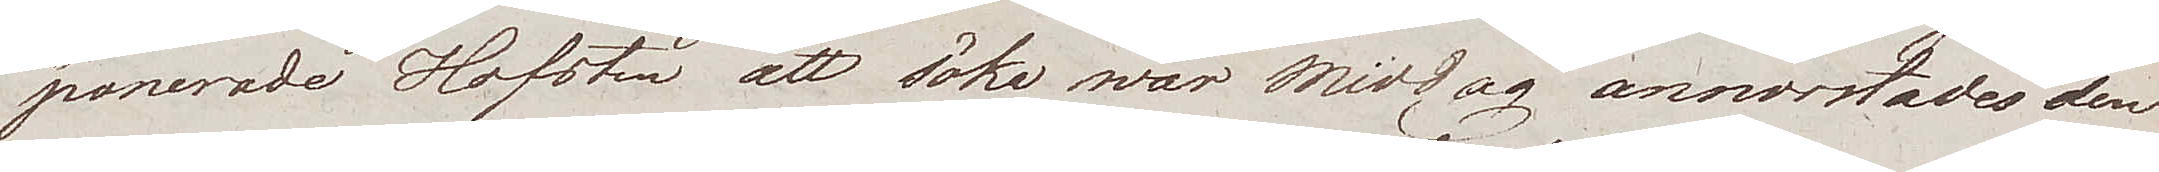ponerade Hofsten att söka wår Middag annorstädes den
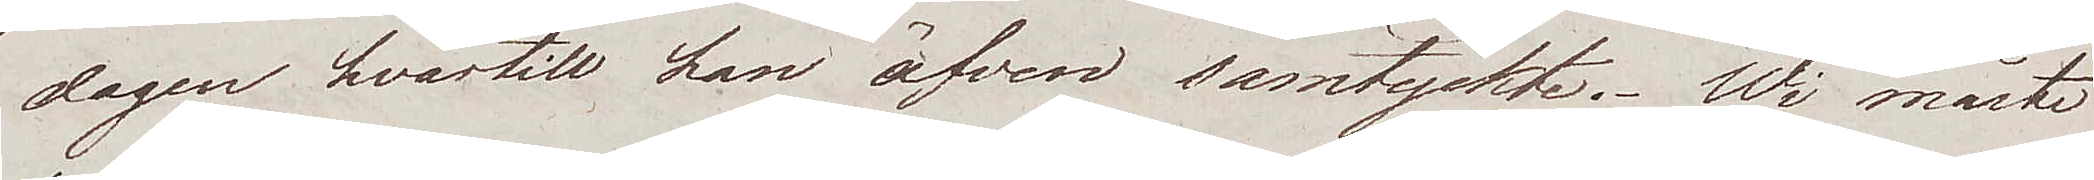dagen hvartill han äfven samtyckte. Wi måste
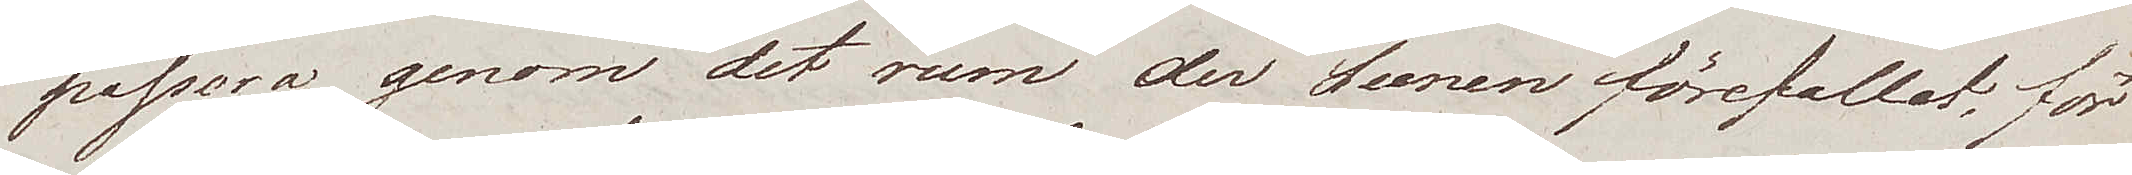passera genom det rum der Scenen förefallet, för
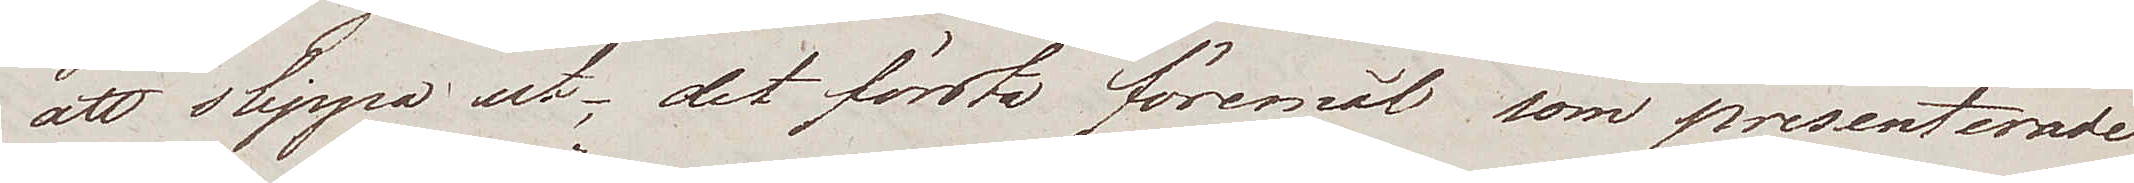att slippa ut – det första föremål som presenterade
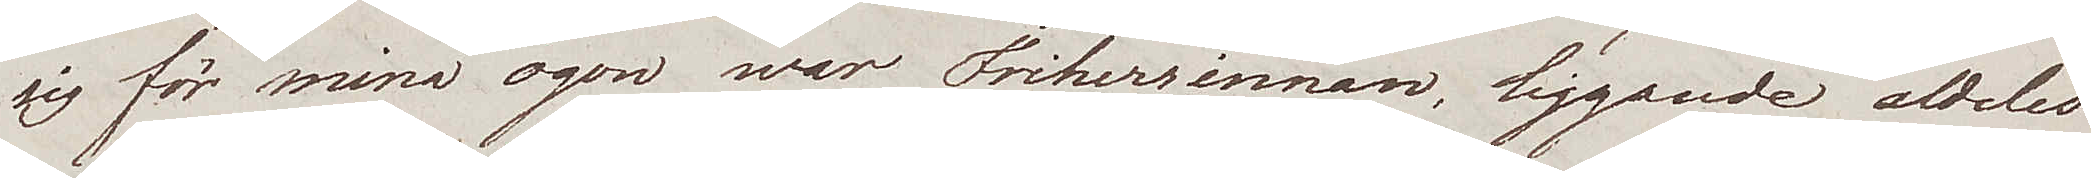sig för mina ögon war Friherrinnan, liggande aldeles
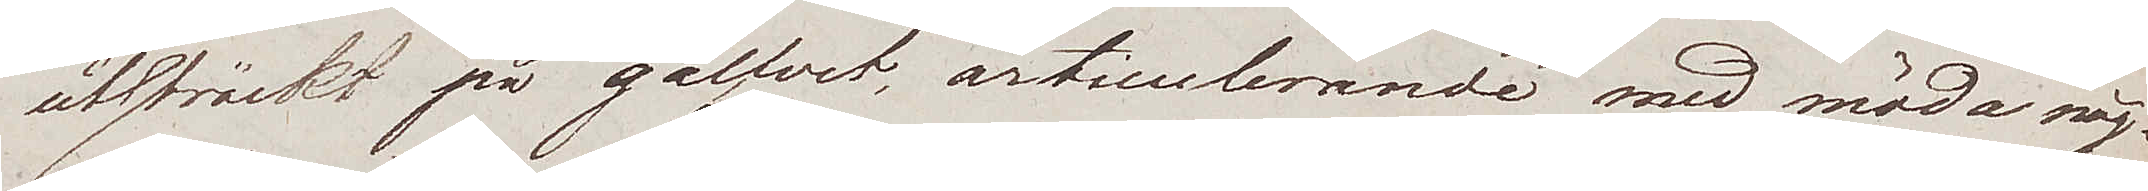utsträckt på gålfvet, articulerande med möda någ¬
